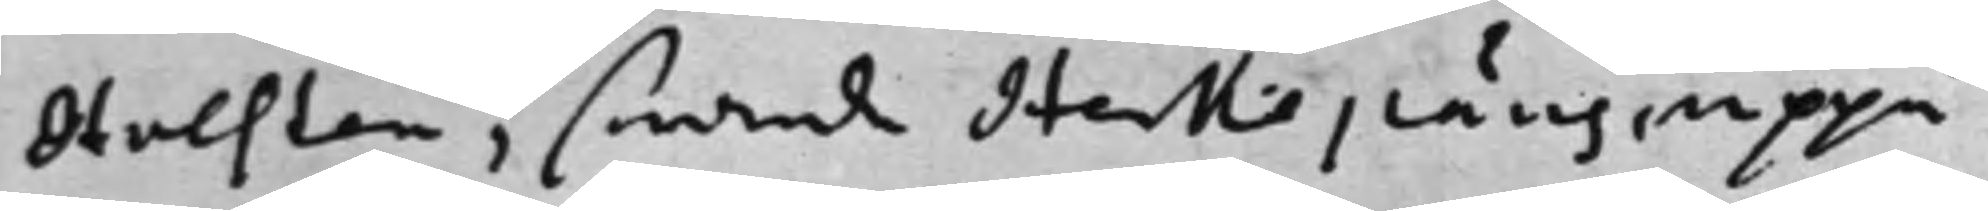Holsten, swarde Herkepäus uppå
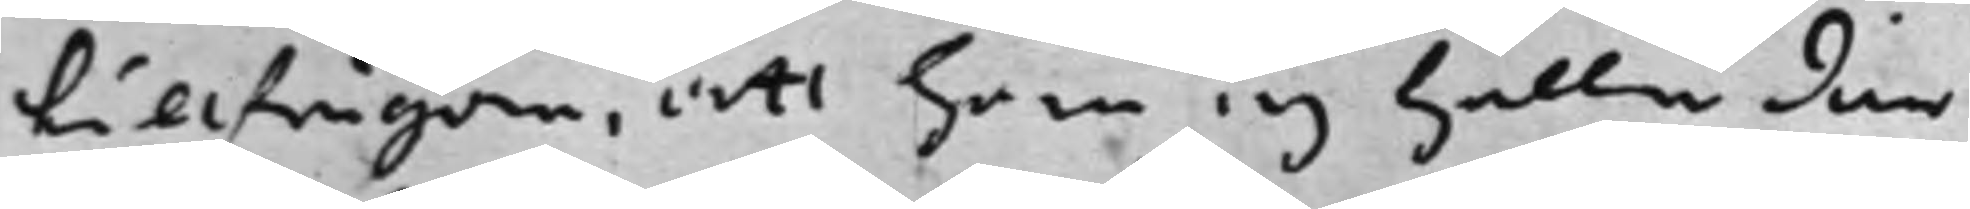tillfrågan, att han ej heller där¬
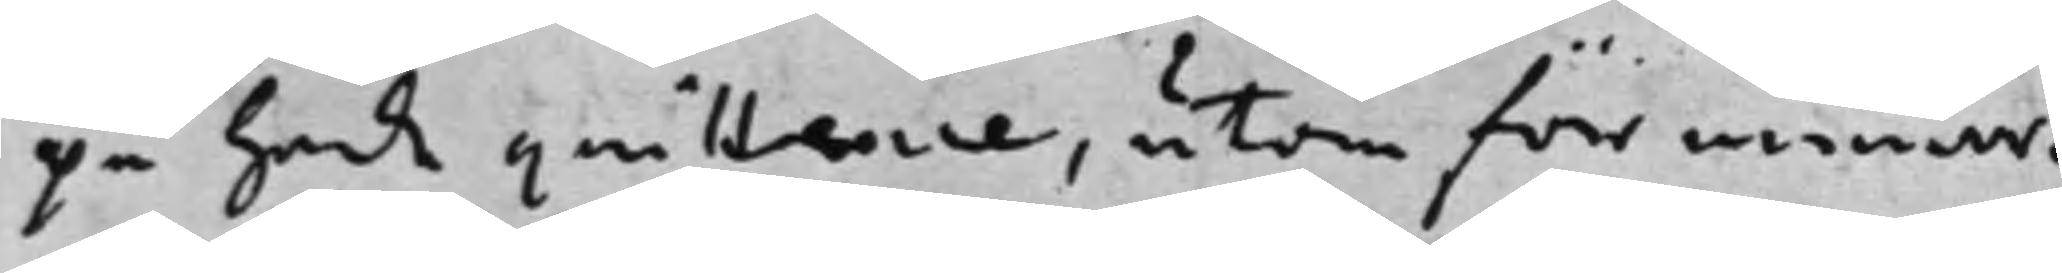på hade quittence, utan förrmenar,
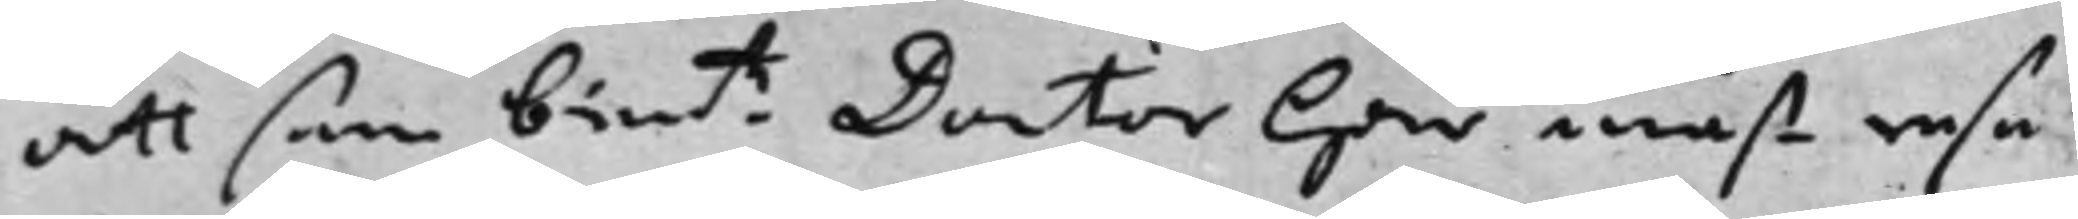att som bente Doctor han måst resa 
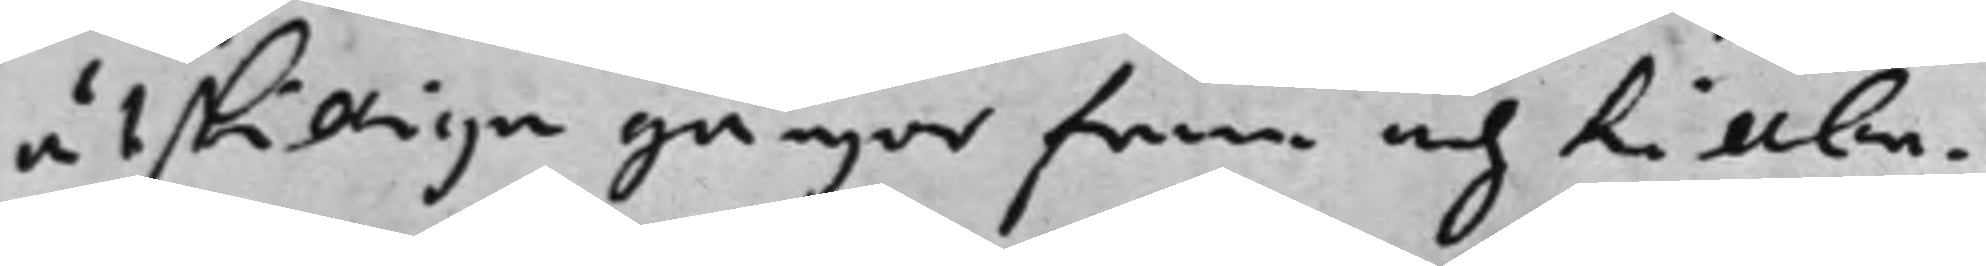åtskilliga gångor fram och tillba¬
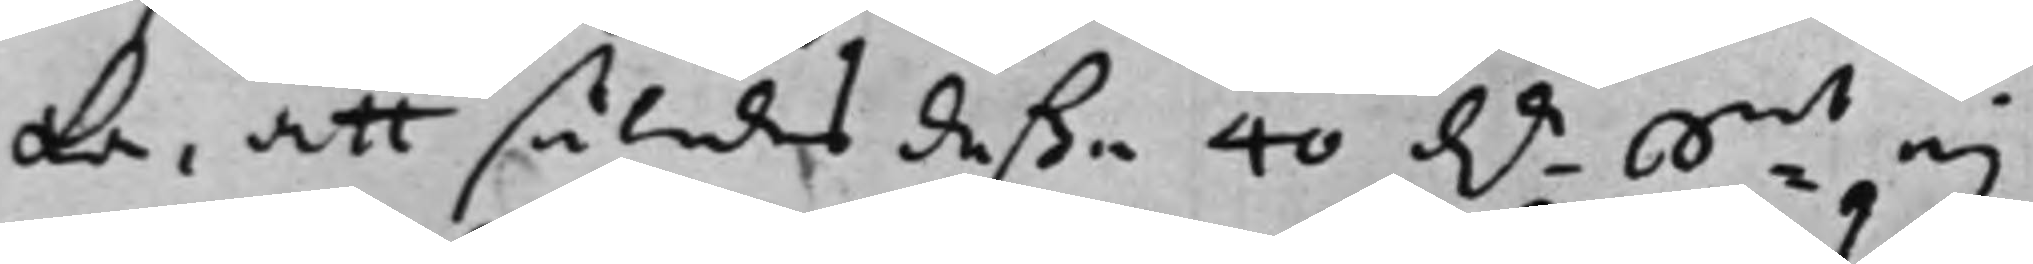ka, att således deßa 40 D.r s:mt ej 
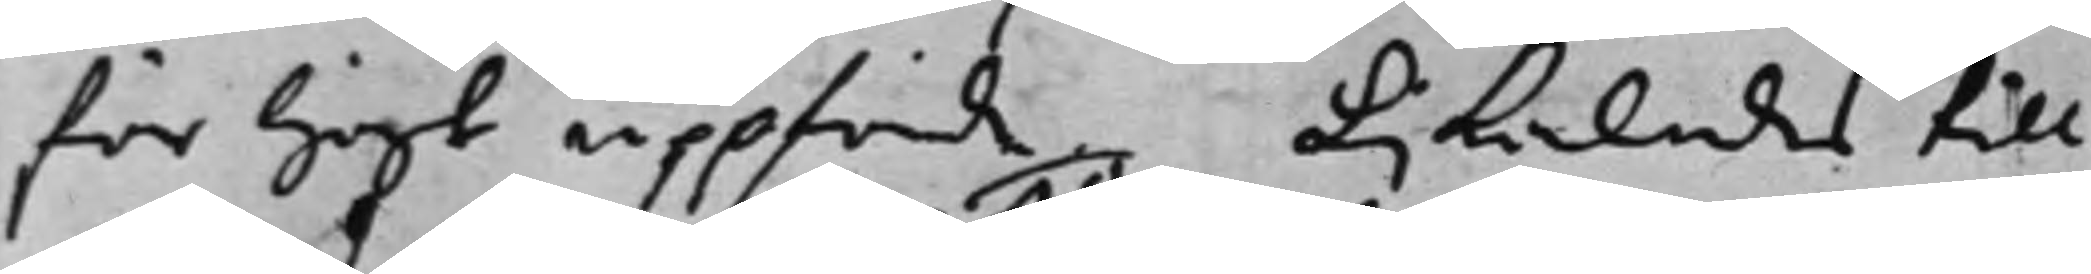för högt uppförde, Lijkaledes till¬
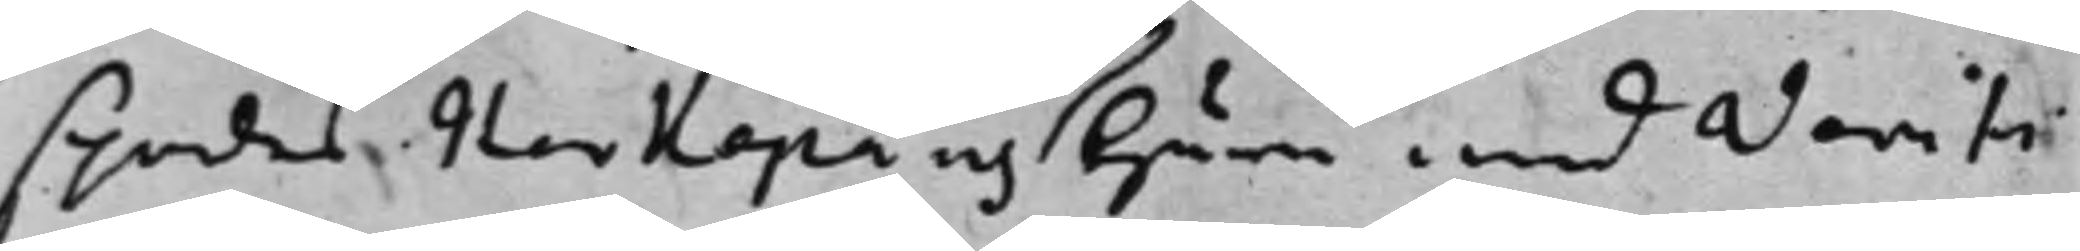spordes Herkepäus Huru med Verifi¬
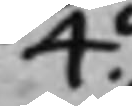4o.
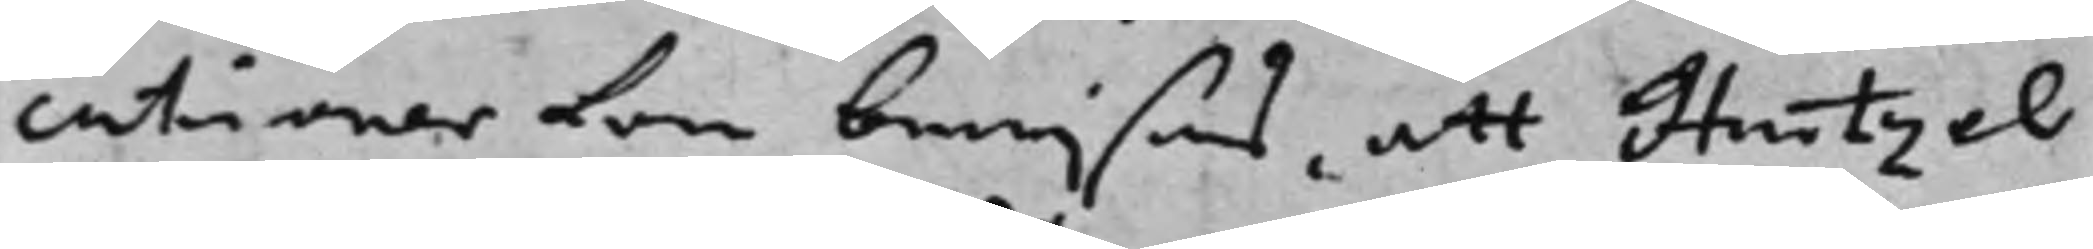cationer kan bewijsas, att Hartzel
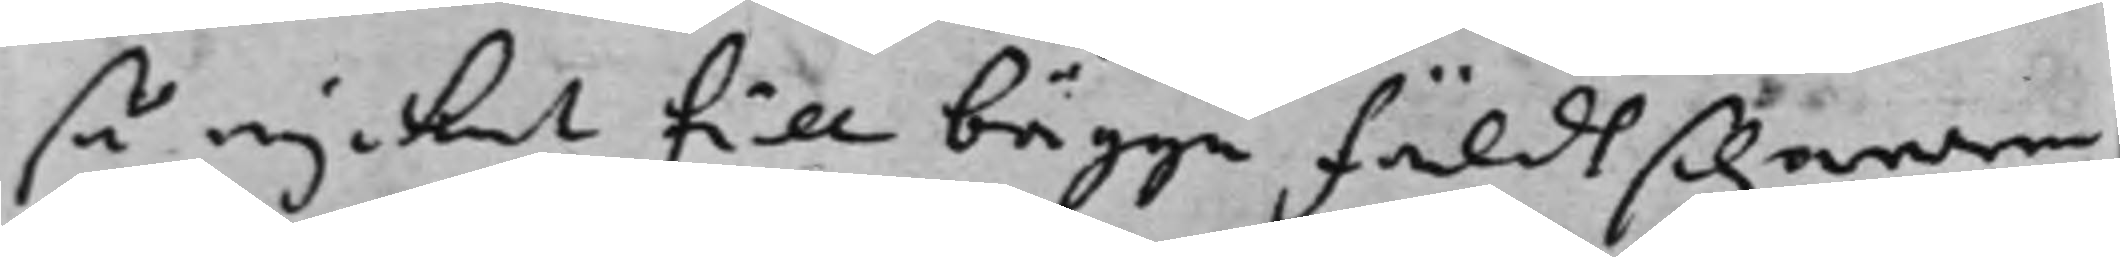så mycket till bägge fäldtschärerne
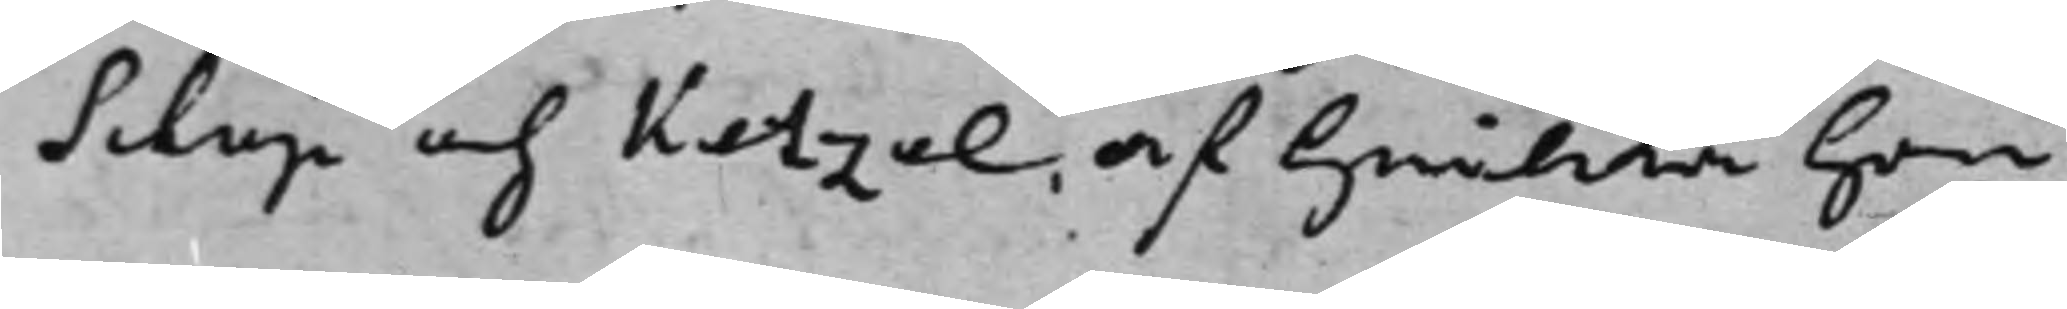Schup och Ketzel, af hwilcka han
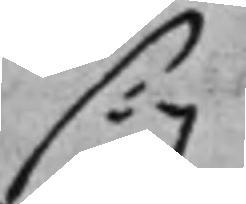sig
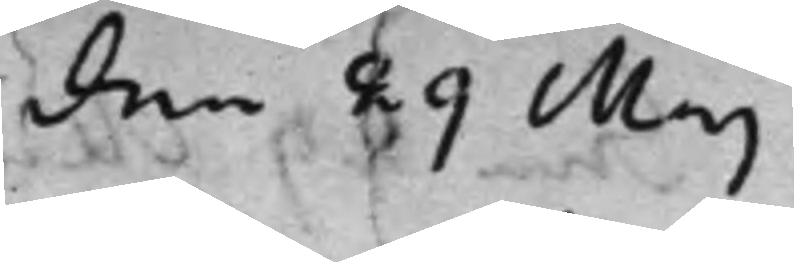den 29 Maj
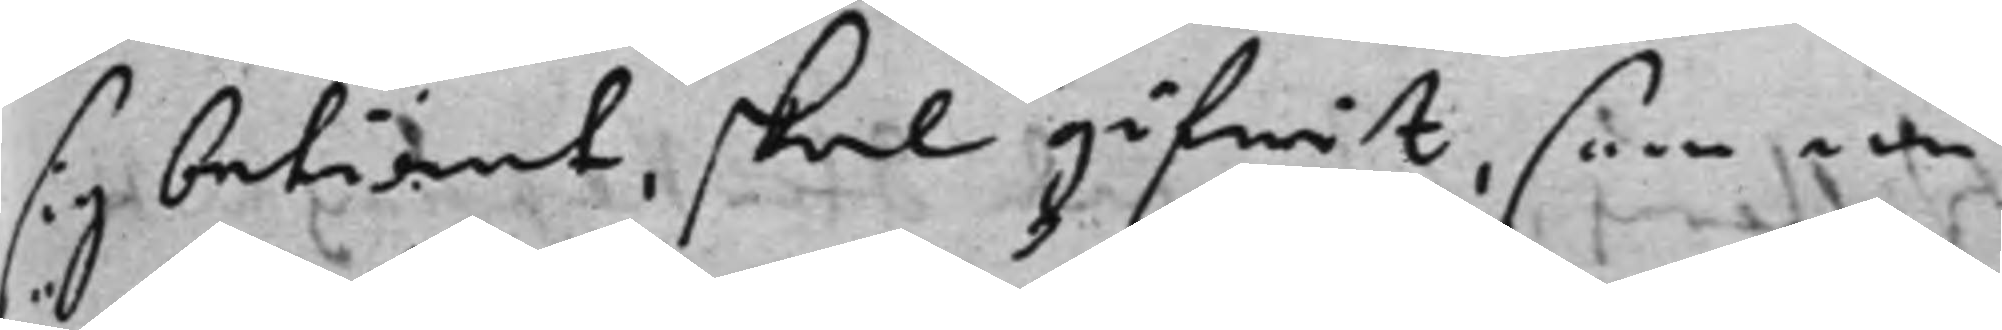sig betiänt, skal gifwit, som nu
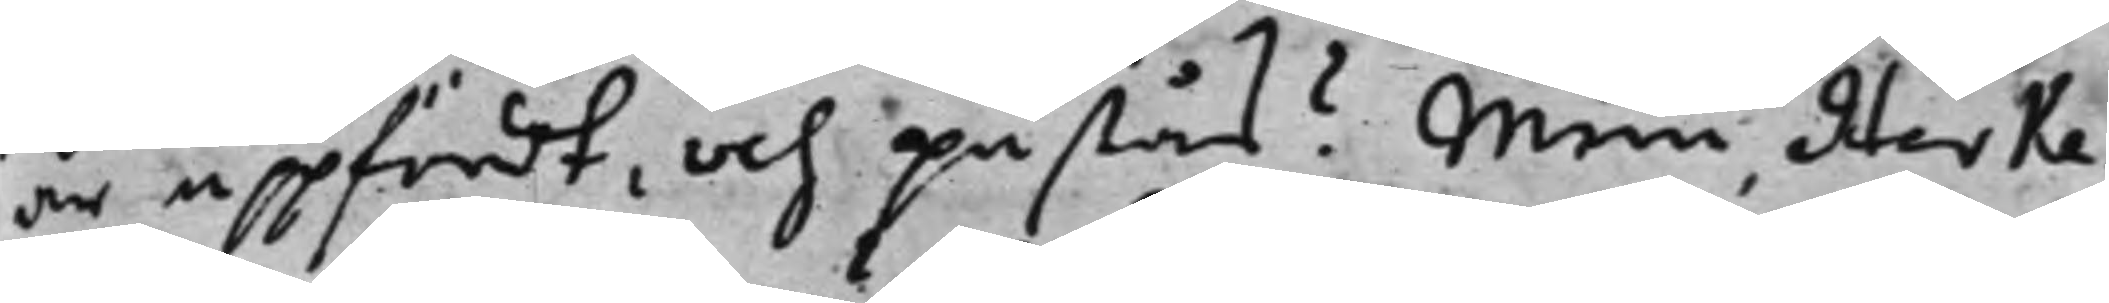är uppfördt, och påstås? Men Herke¬
